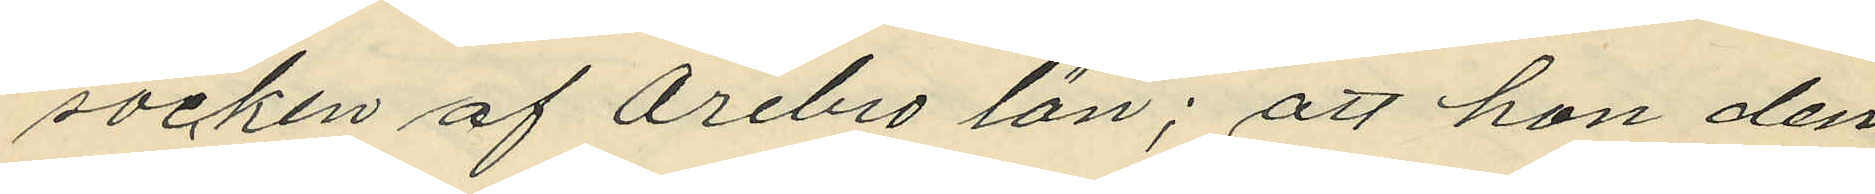socken af Örebro län; att hon den
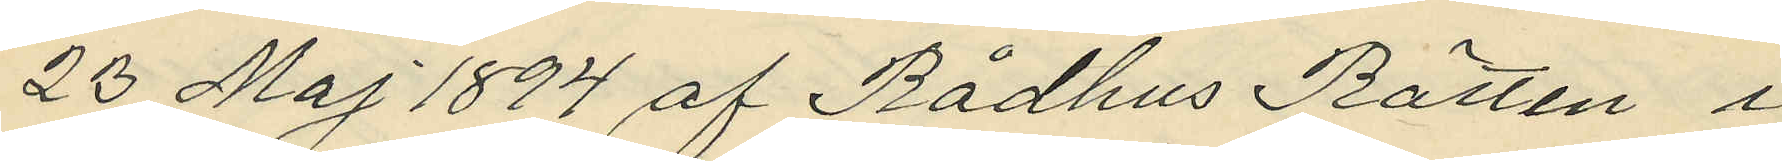23 Maj 1894 af Rådhus Rätten i
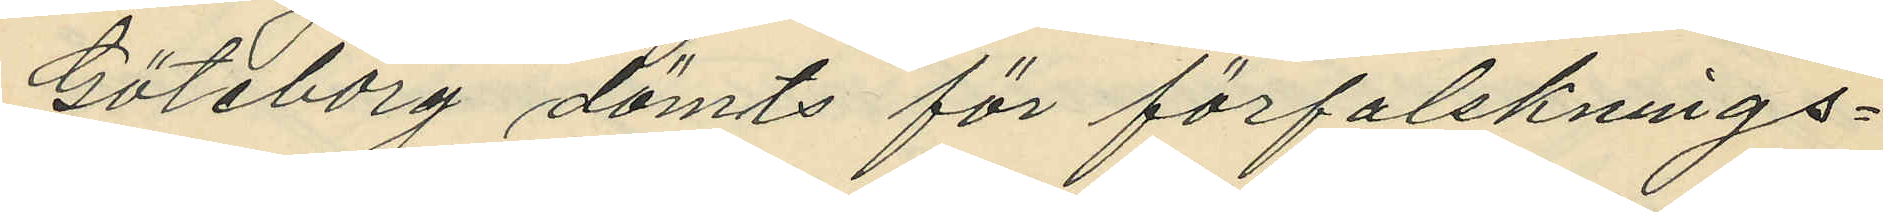Göteborg dömts för förfalsknings¬
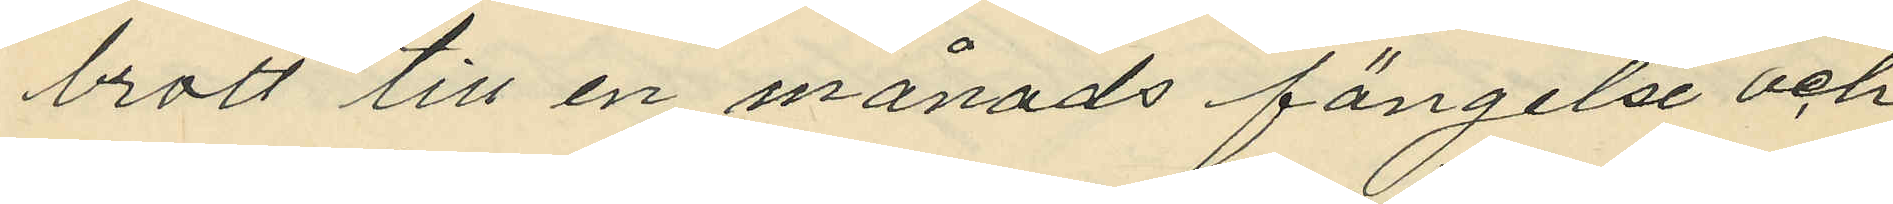brott till en månads fängelse och
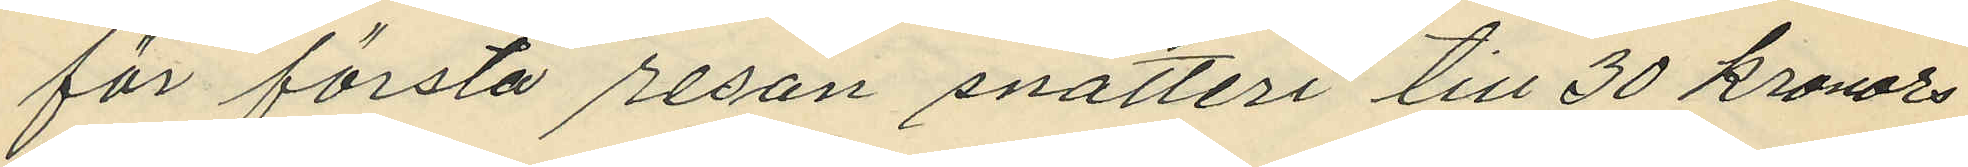för första resan snatteri till 30 kronors
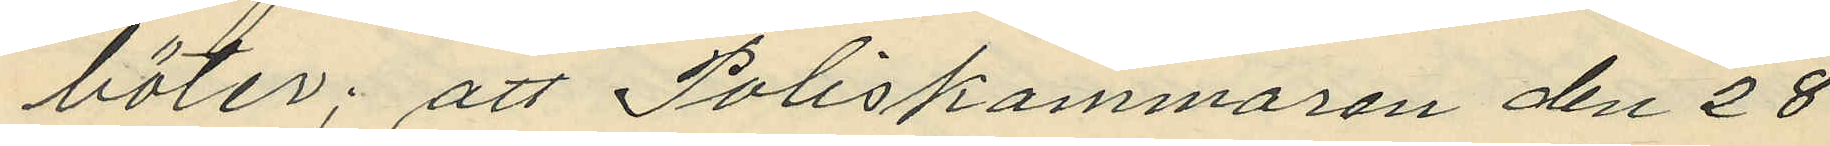böter; att Poliskammaren den 28
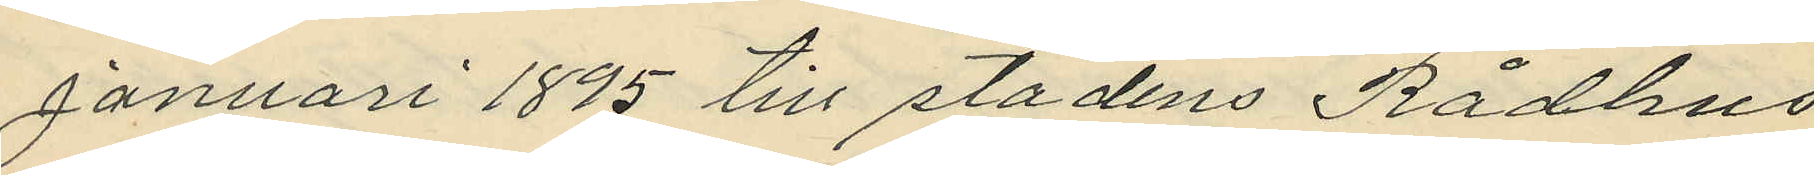januari 1895 till stadens Rådhus
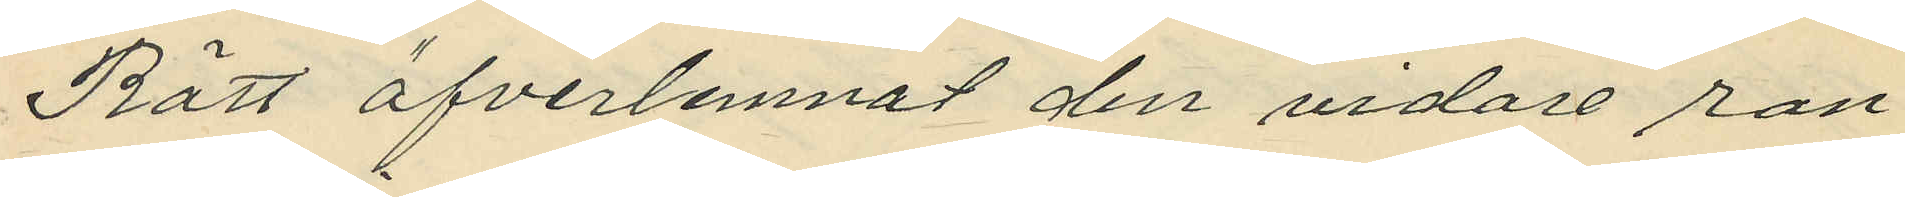Rätt öfverlemnat den vidare ran¬
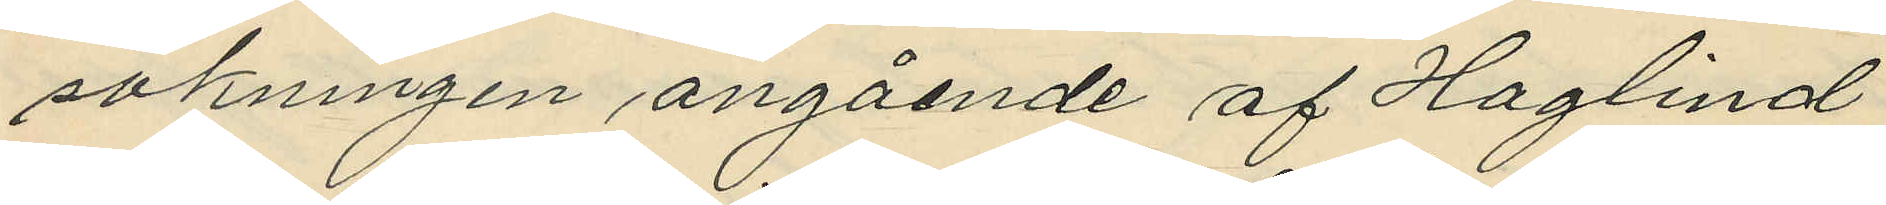sakningen angående af Haglind
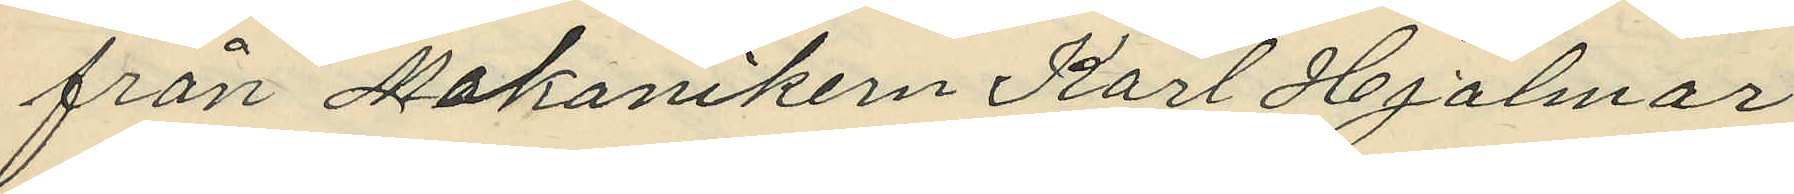från Mekanikern Karl Hjalmar
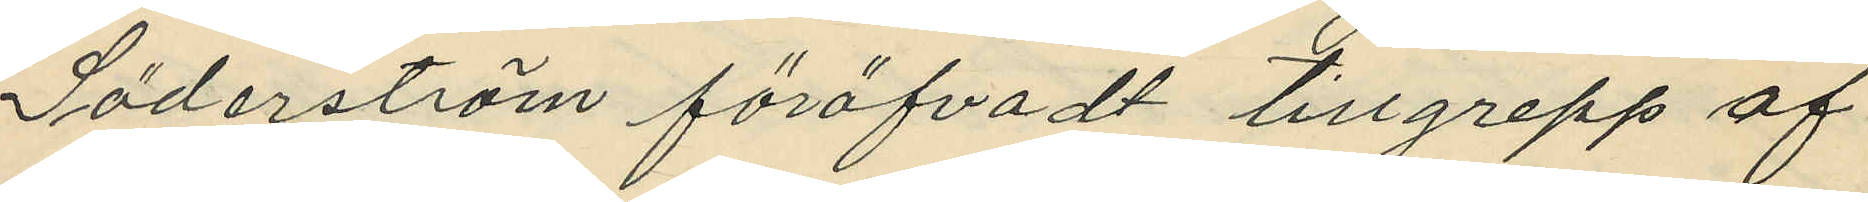Söderström föröfvadt tillgrepp af
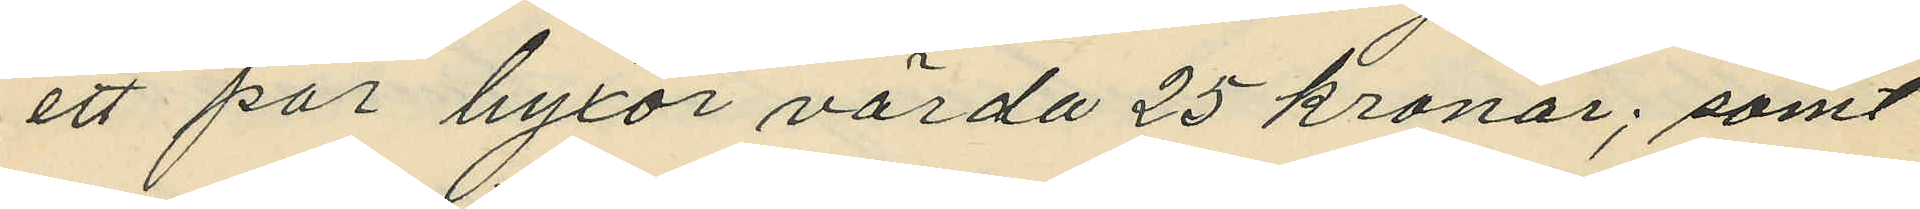ett par byxor värda 25 kronor; samt
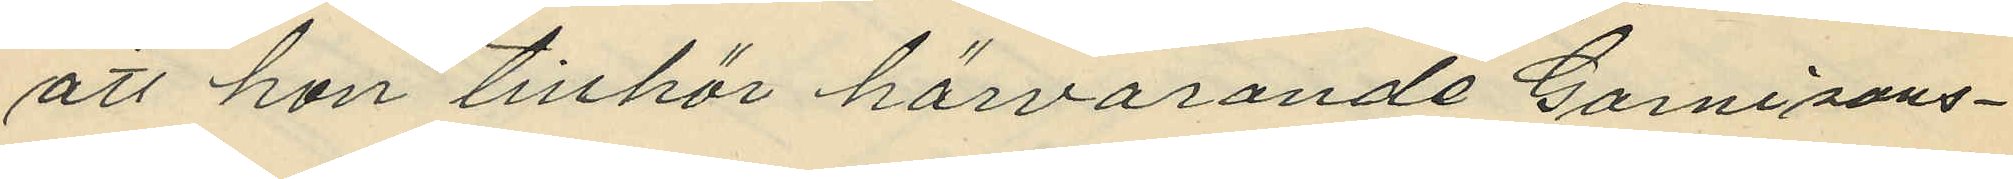att hon tillhör härvarande Garnisons¬
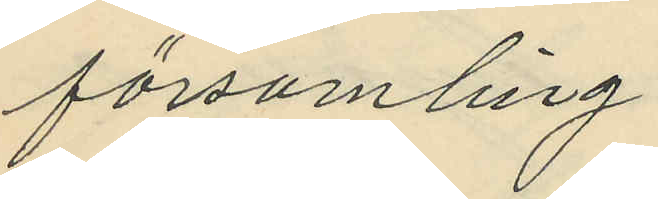församling.
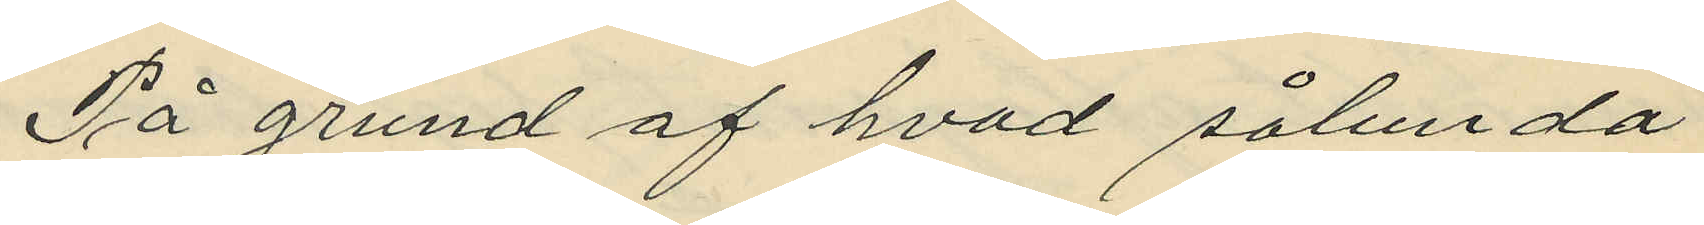På grund af hvad sålunda
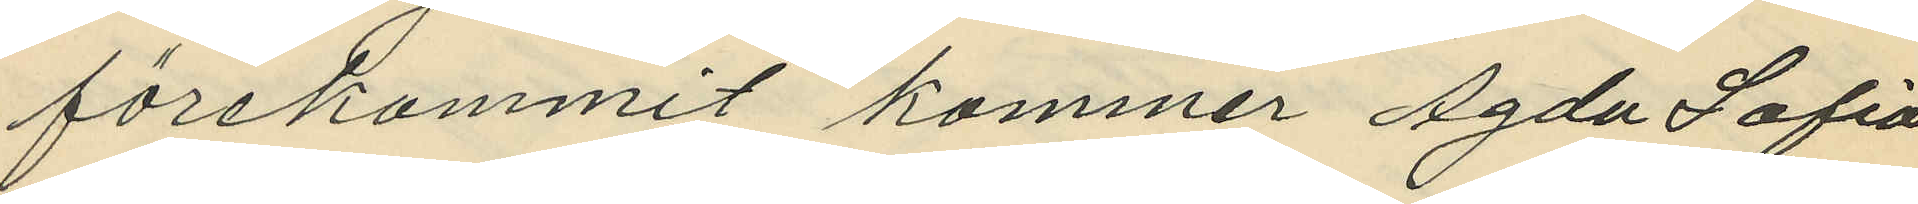förekommit kommer Agda Sofia
